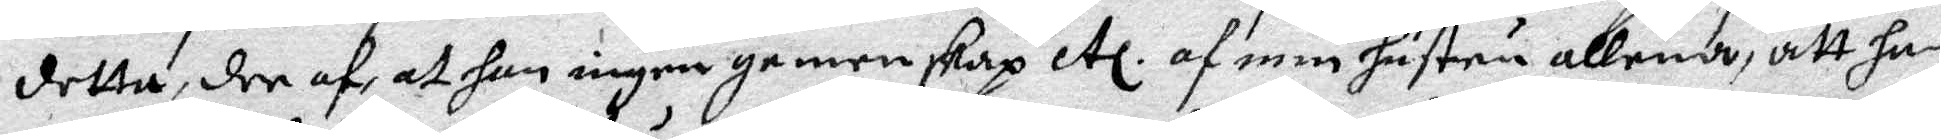detta, den af, att han igen genenskap etc. af min hustru allena, att han
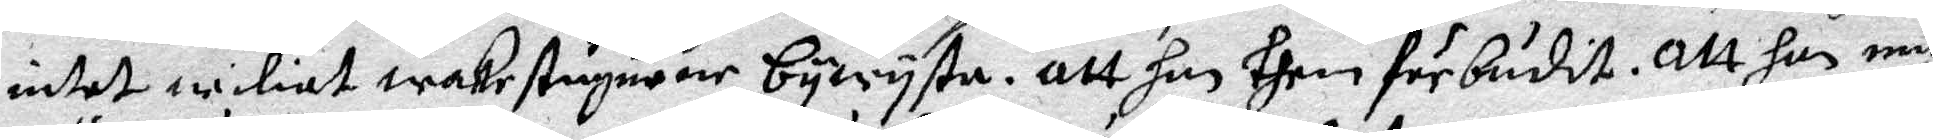intet wiliat wakestugurne bywysta. Att han them förbudit. Att han mig
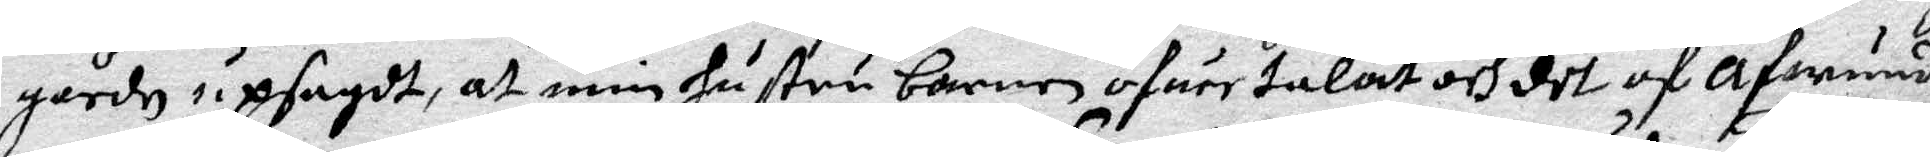gårdn upsagdt, at min hustru barnenöfuertalat och det af afwund
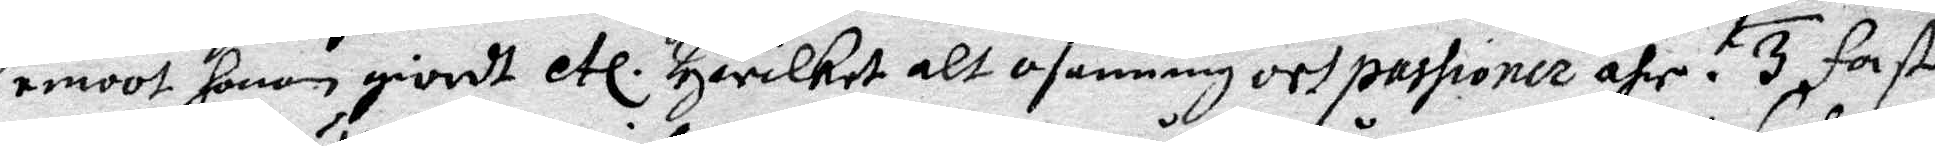emoot honom giordt etc. Hwilket alt osanning och passioner ähr. 3 fast
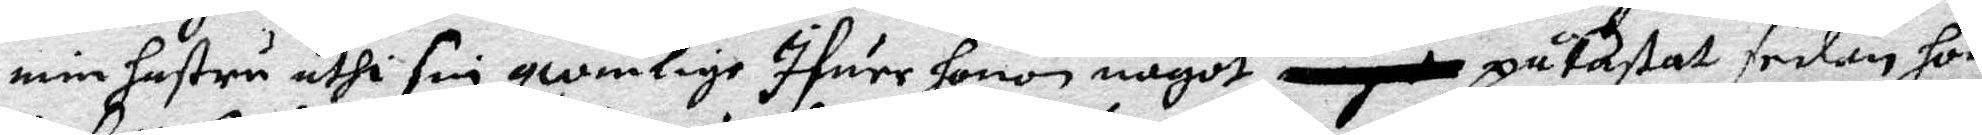min hustru uthi sin qwinlige Ifuer honom något påkastat sedan hon
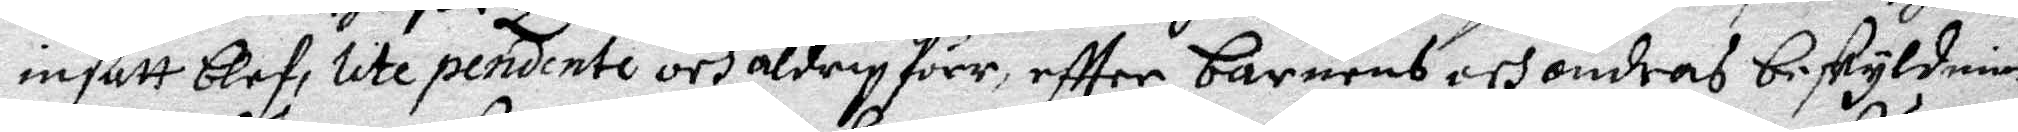intett blef, lite pendinte och aldrig förr, effter barnes och andras beskyldnin¬
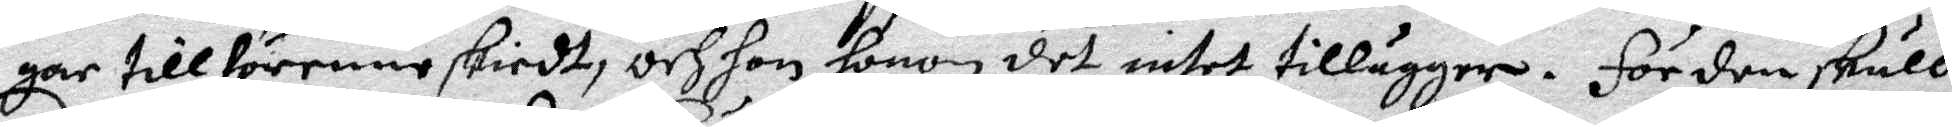gar till förenne skiedt, och hon honom det intet tillägger. För den skull
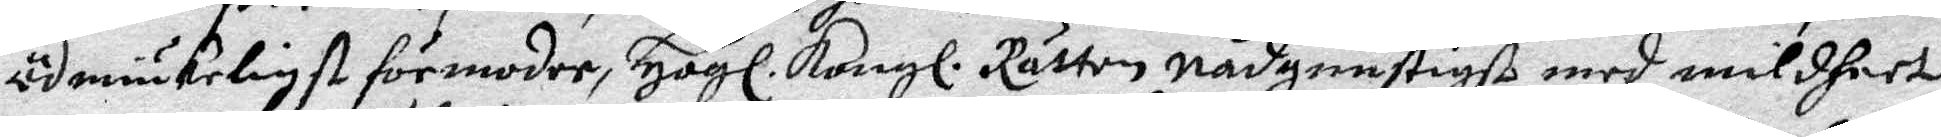ödmiukeligst förmoder, Högl. Kongl. Rätten nådgunstigst med mildheet
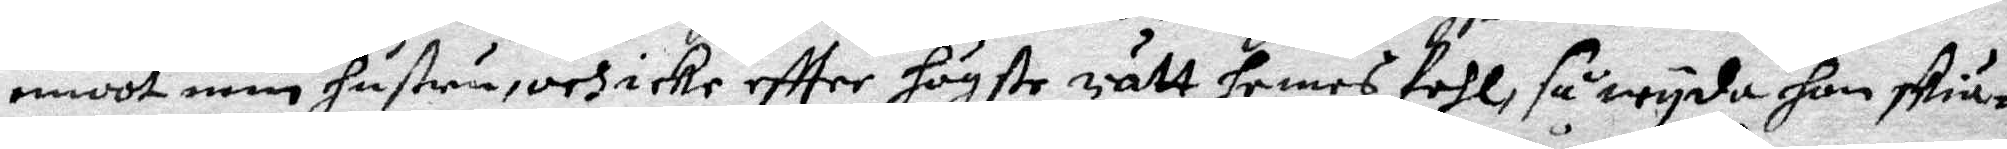emoot min hustru, och icke effter högste rätt hennes fehl, så wyda hon skiä¬
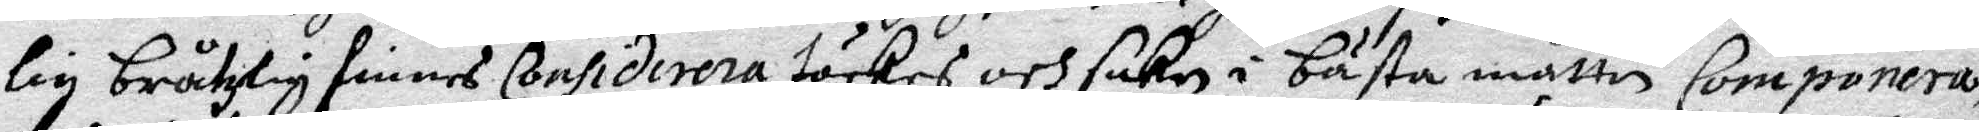lig bråtzlig finnes Considirera täckes och saken i bästa måtte Componera,
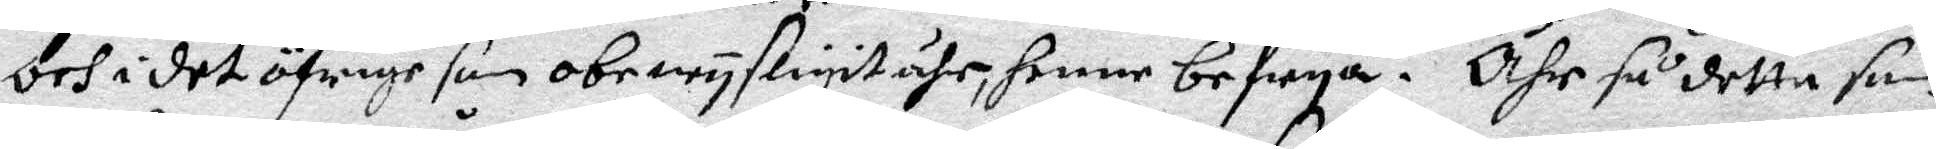Och i det öfrige som obewysligit ähr, henne befrya. Ähr så detta som
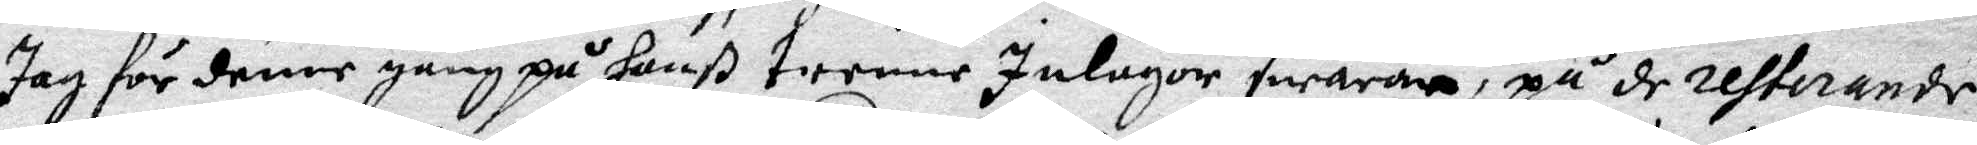Jag för denne gång på hanß trenne Inlagor swarar, på de resterande
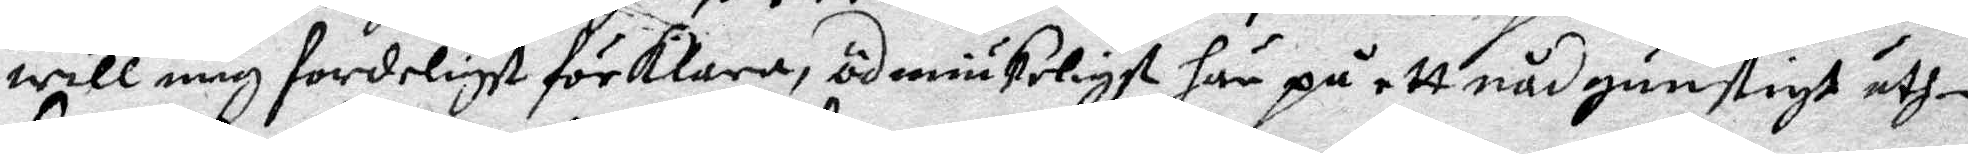will mig fordeligst förklara, ödmiukeligst här på ett nåfgunstigt uth¬
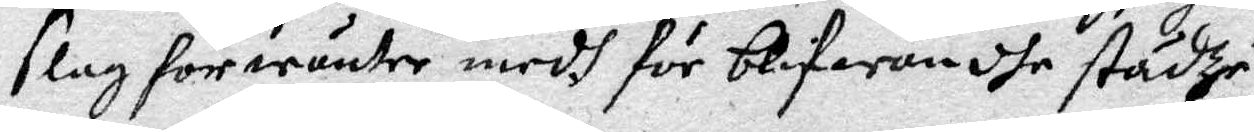slag förwäntar medh för blifwandhe städze.
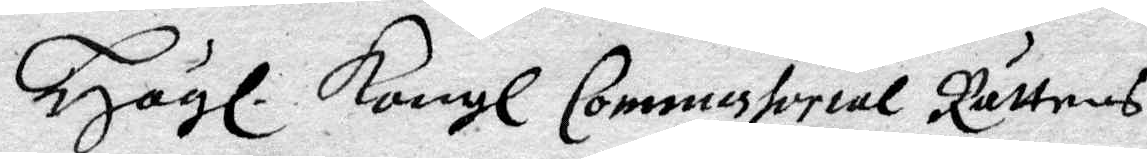Högl. Kongl. Commissorial Rättens
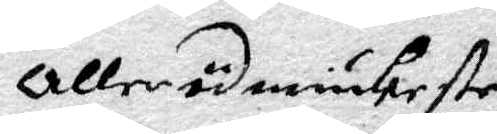Allerödmiukaste
